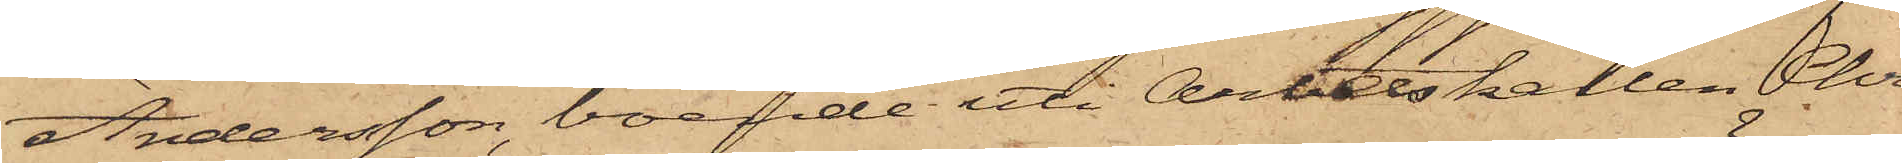Andersson, boende uti Arbetskarlen Chri¬
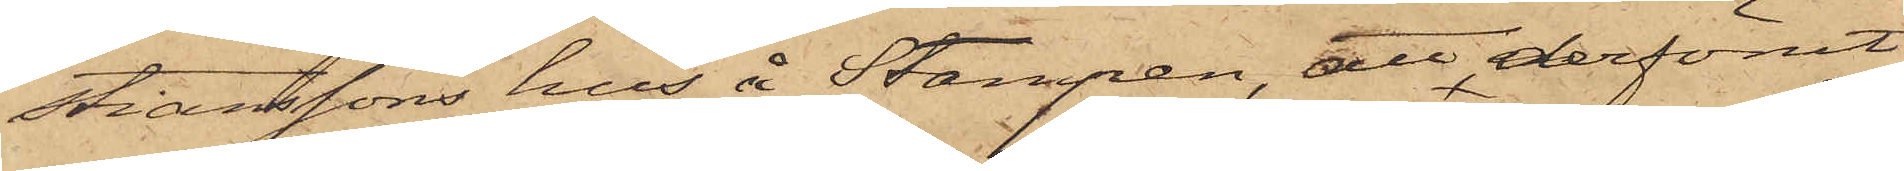stianssons hus å Stampen, att derförut¬
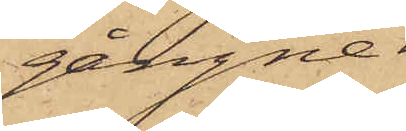gångne
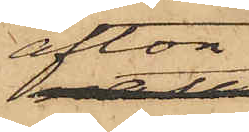afton,
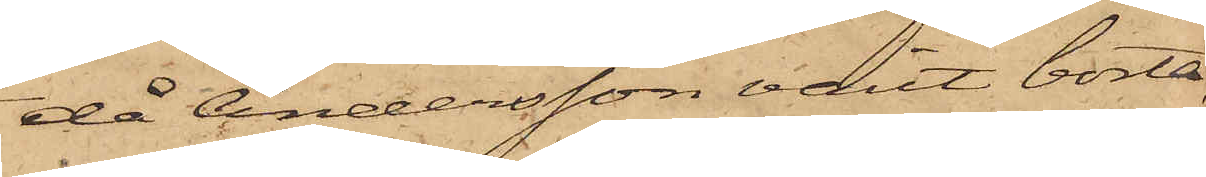då Andersson varit borta,
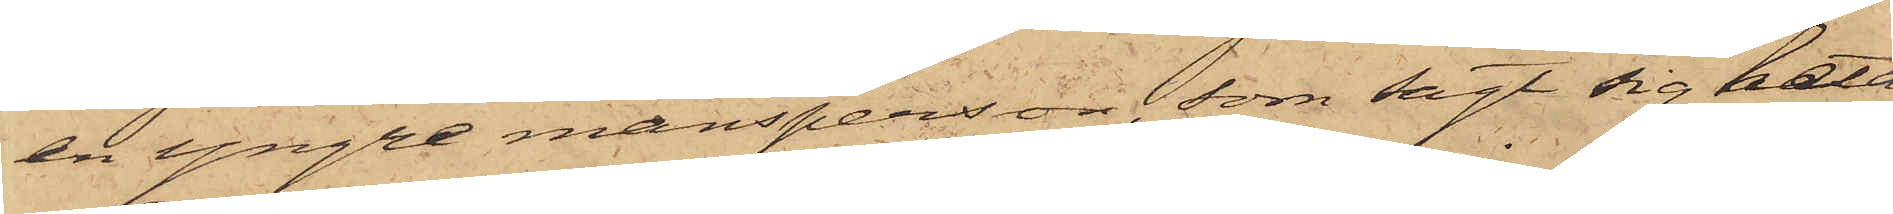en yngre mansperson, som sagt sig heta
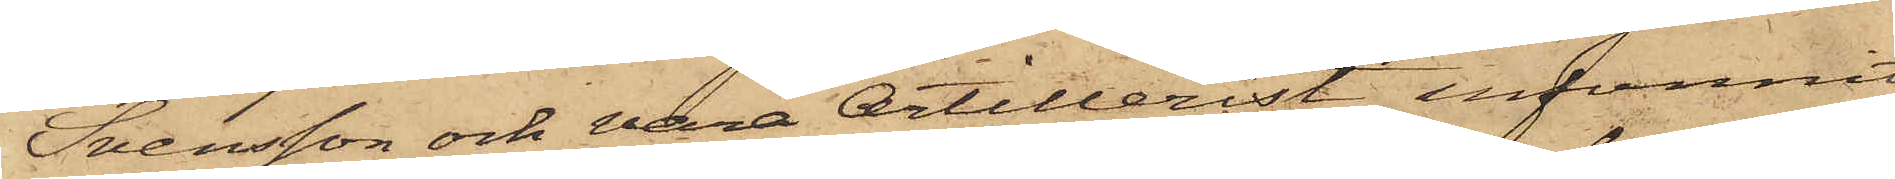Svensson och vara Artillerist, infunnit
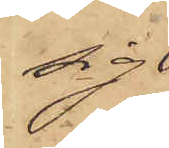sig
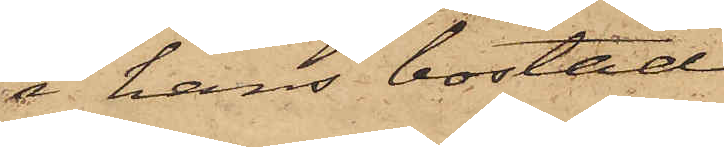i hans bostad
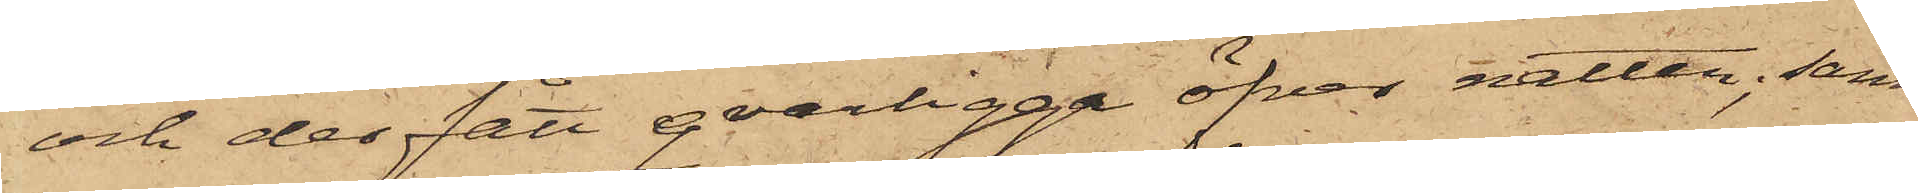och der fått qvarligga öfver natten; samt
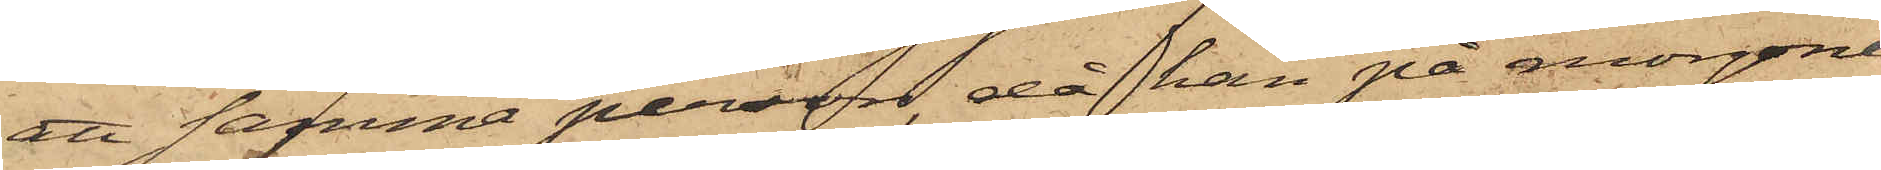att samma person, då han på morgonen
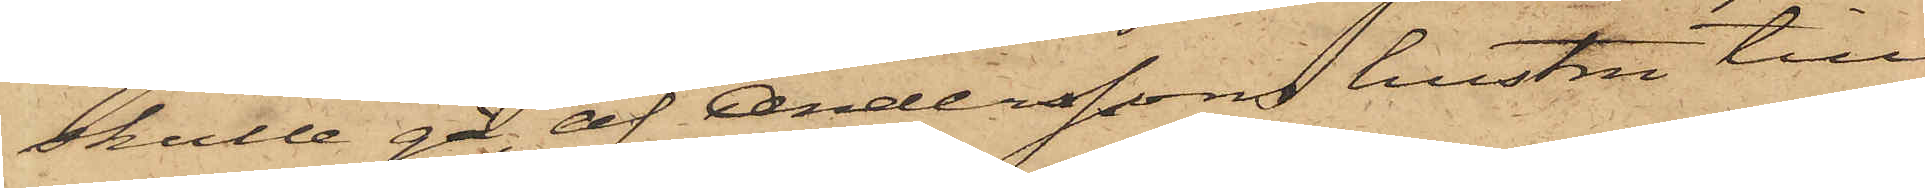skulle gå, af Anderssons hustru till¬
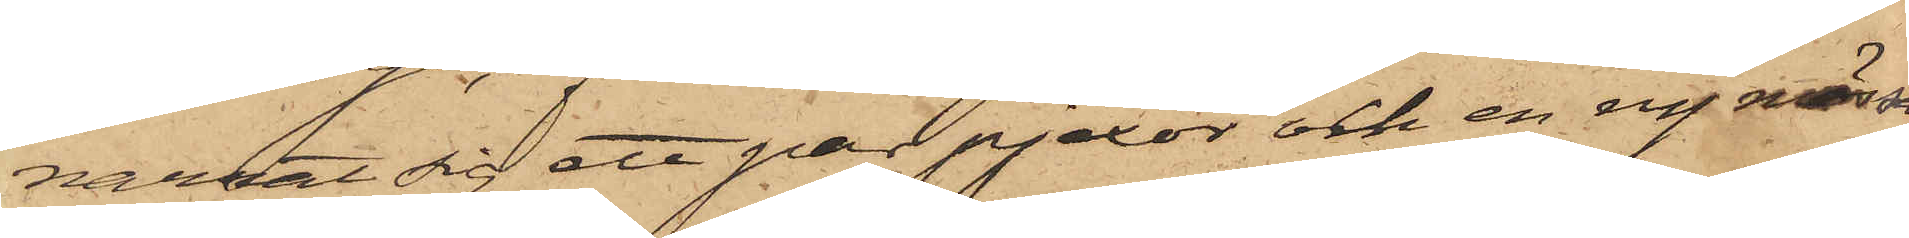narrat sig ett par pjexor och en ny mössa,
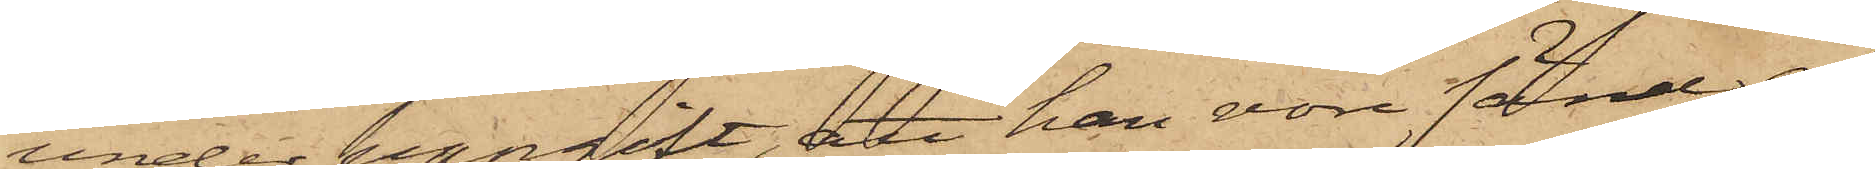under uppgift, att han vore sänd af
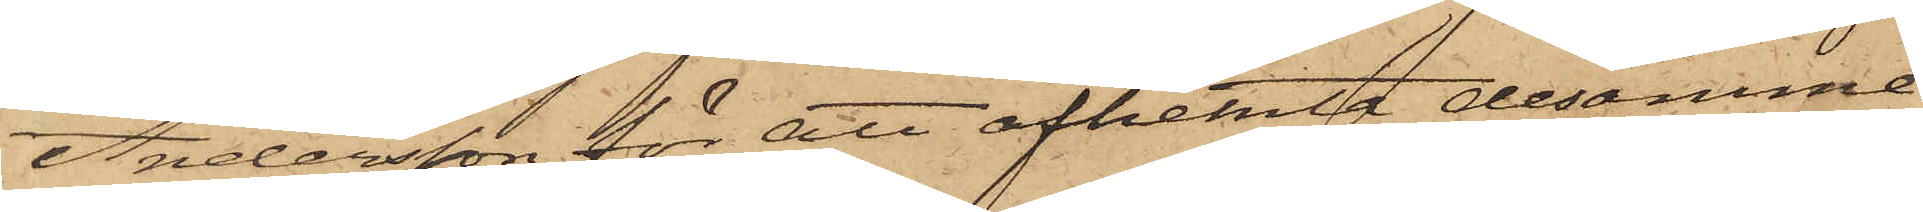Andersson för att afhemta desamme.
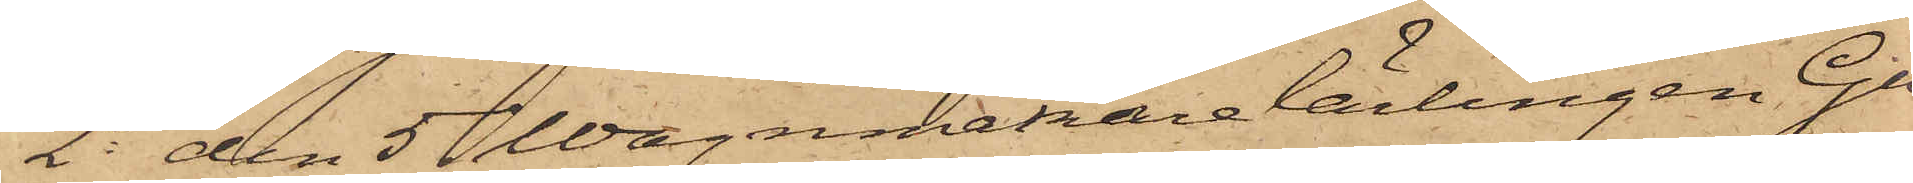2o den 5 Wagnmakarelärlingen Gu¬
